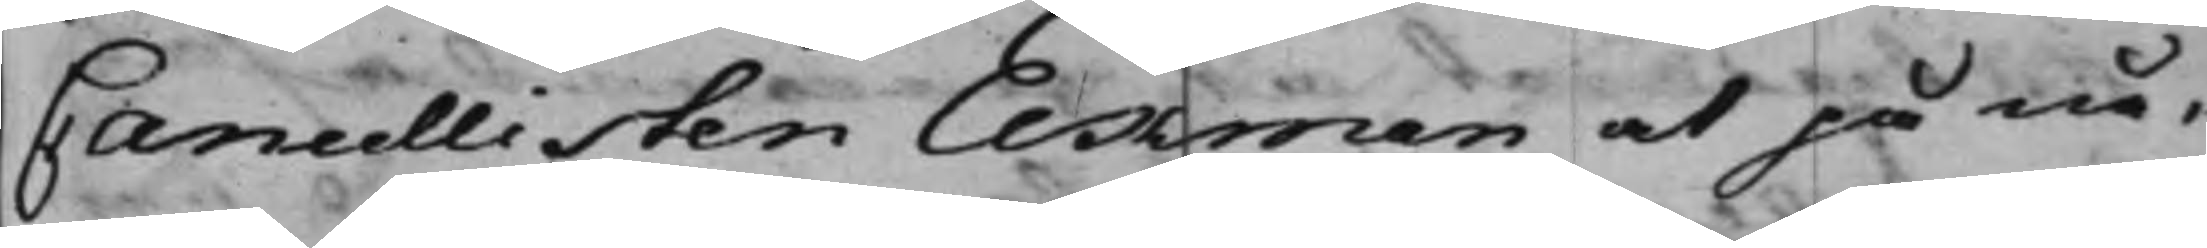Cancellisten Ekman at på nå¬
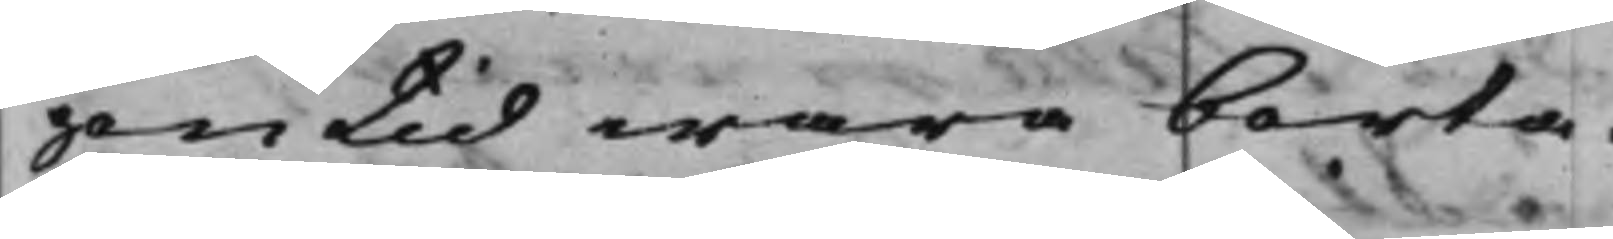gon tid wara borta.
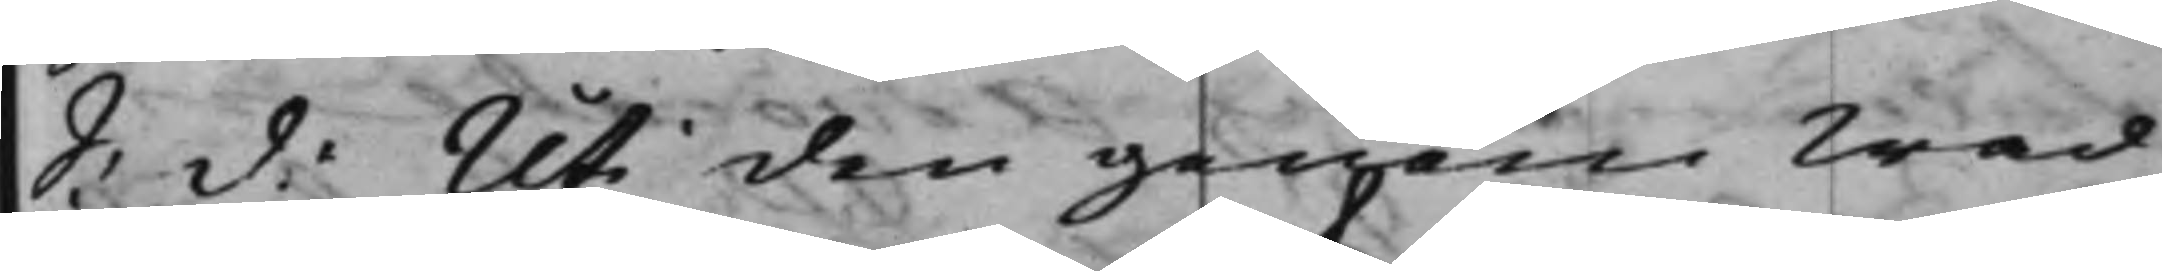S: d: Uti den genom Wad
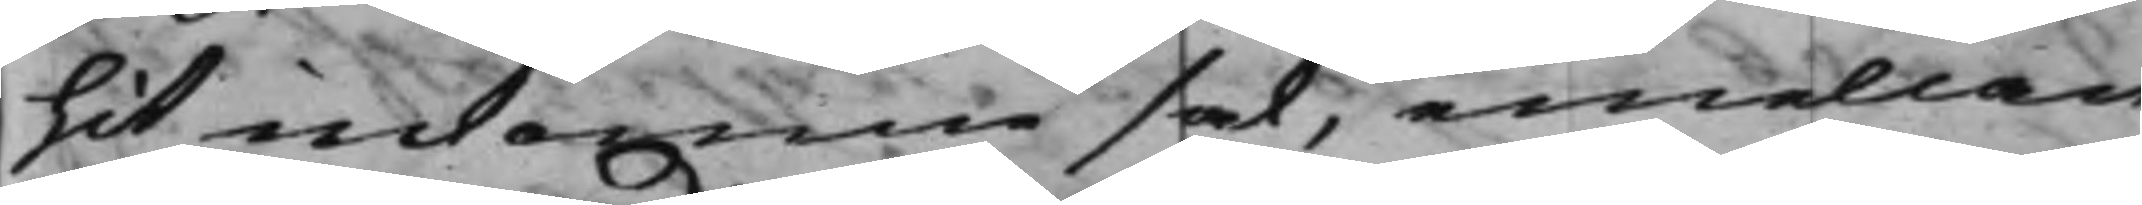hit inkomne sak, emellan
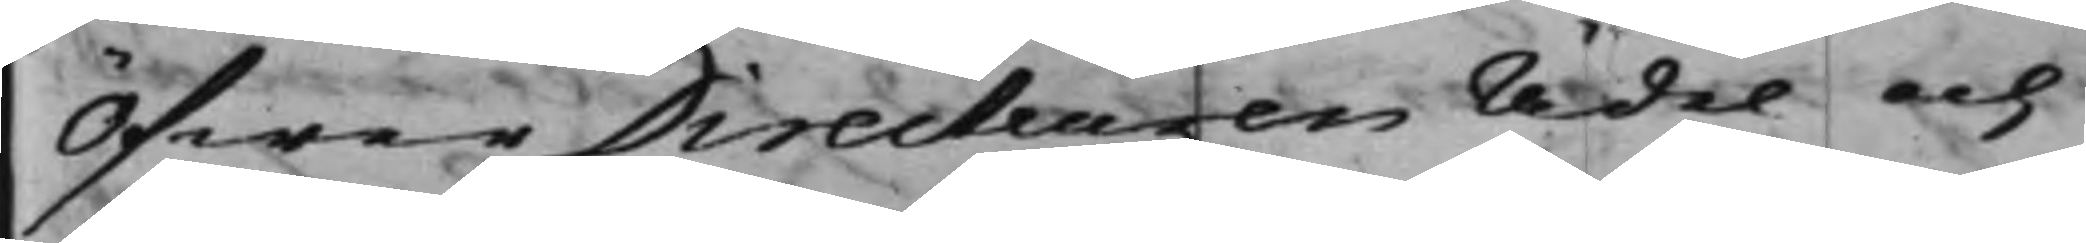ÖfwerDirecteuren Ädel och
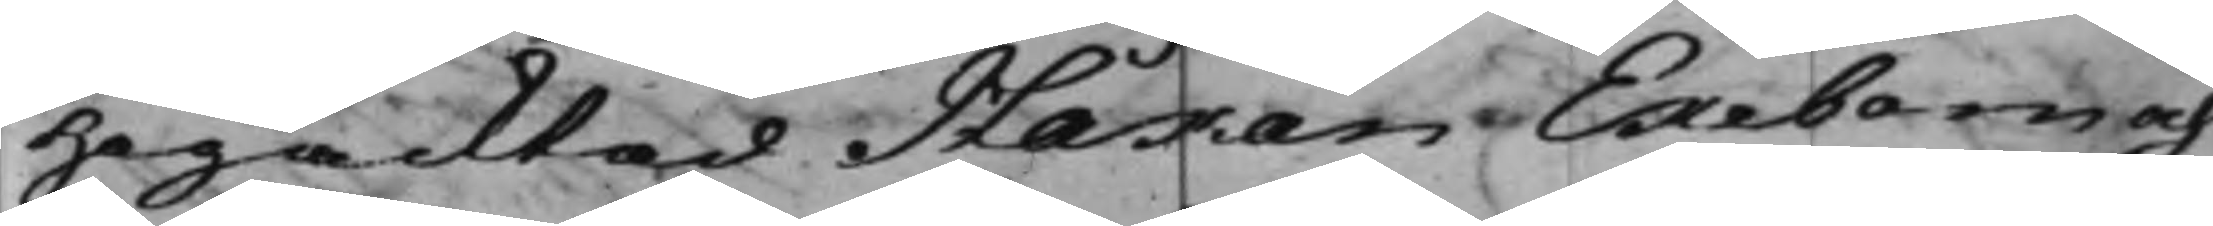Högacktad Håkan Ekebom och
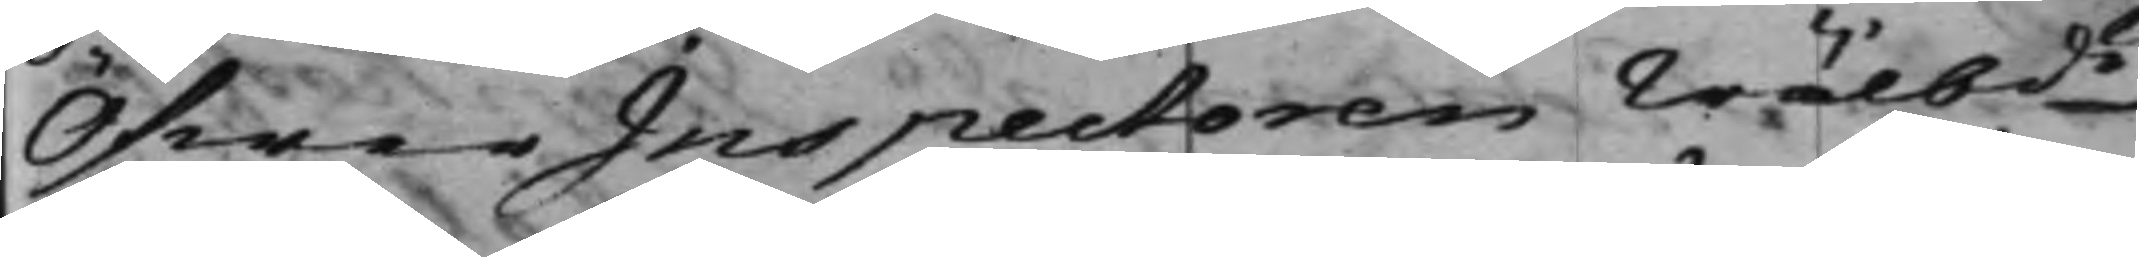ÖfwerInspectoren Wälbde
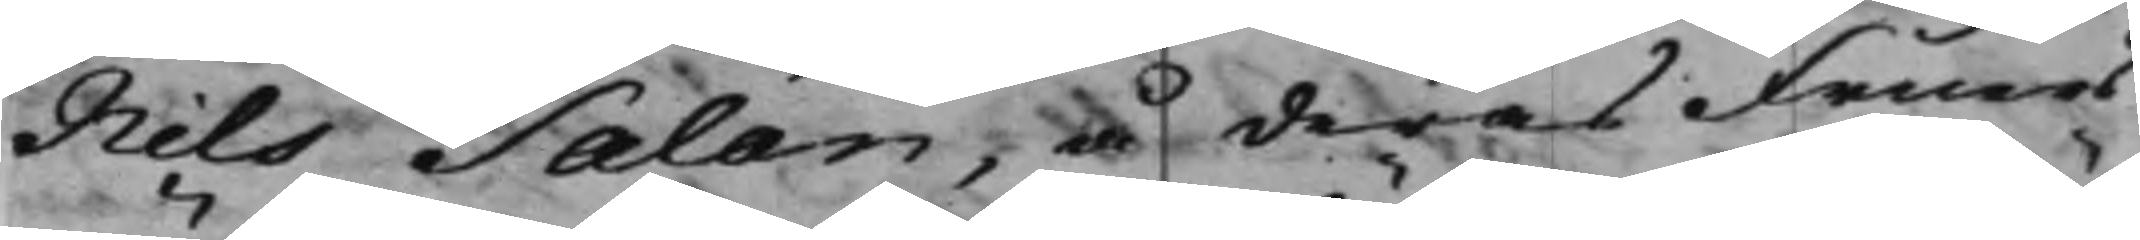Nils Salan, å deras Fruars
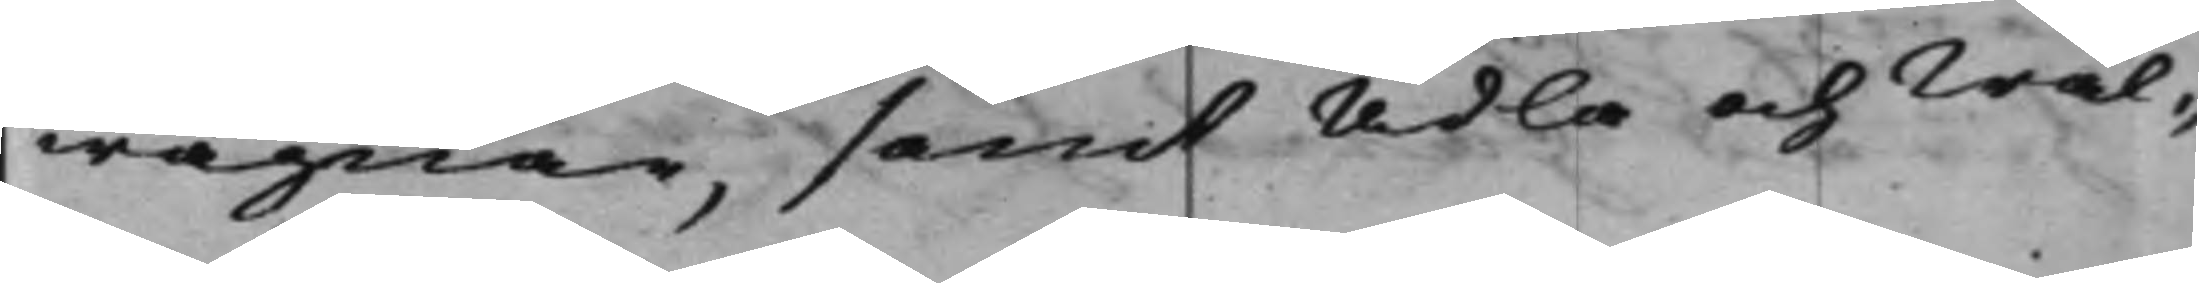wägnar, samt Ädla och Wäl¬
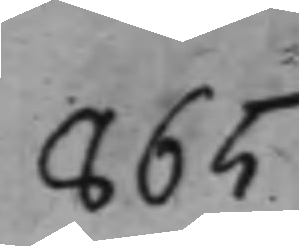865
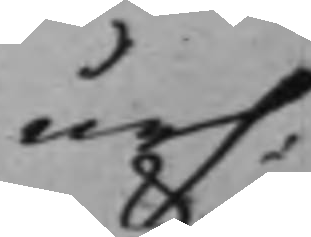urs:
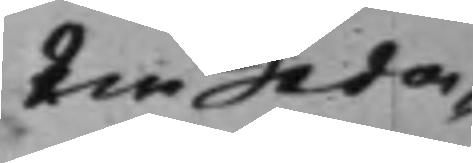tw Leda¬
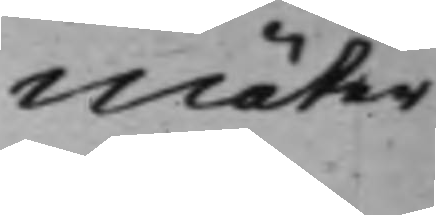möter
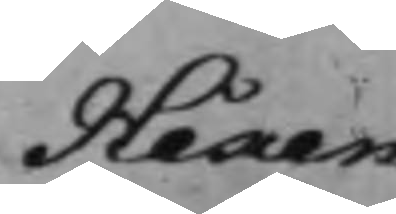Håkan
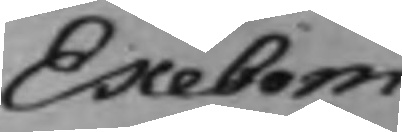Ekebom
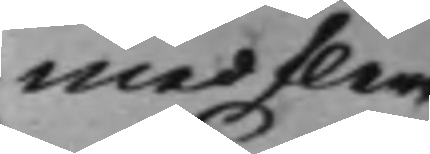med flere
